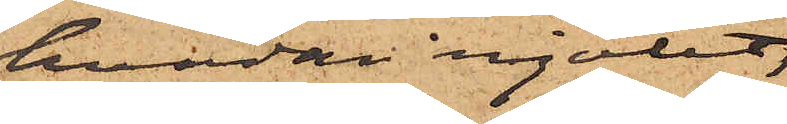hvadan mjölet,
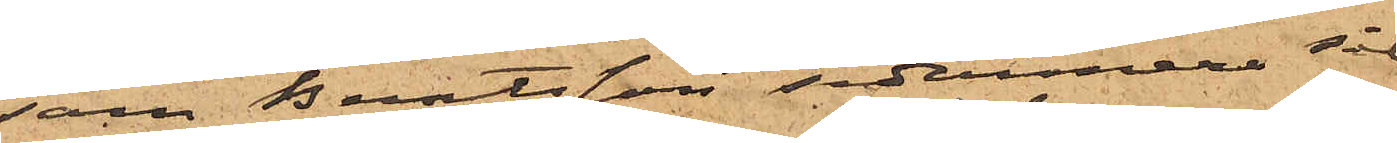som Berntsson sedermera sål¬
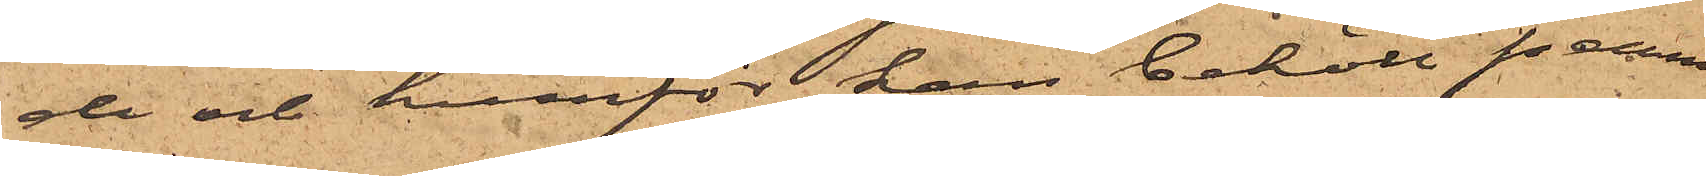de och hvarför han behöll pennin¬
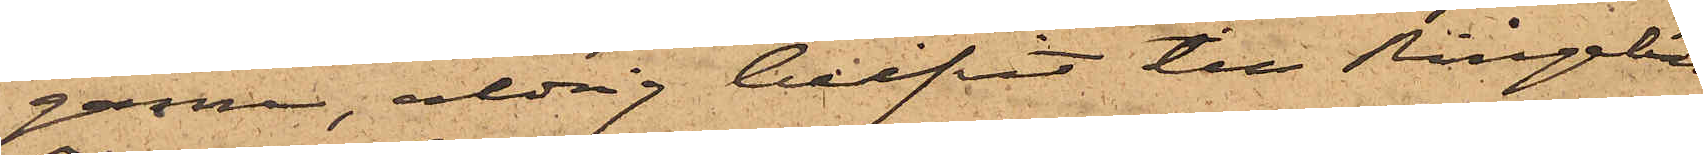garna, aldrig blifvit till Ringebäcks
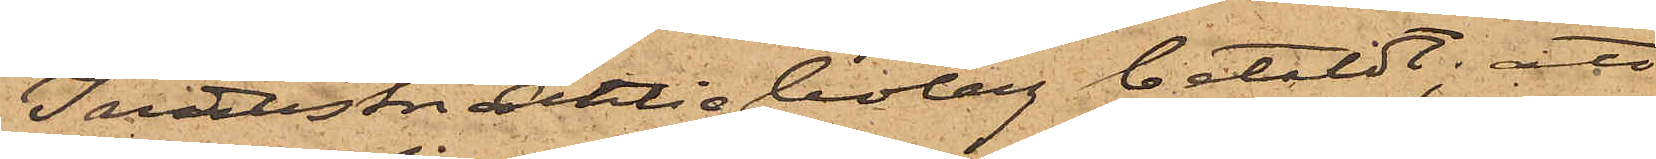IndustriAktiebolag betaldt; att
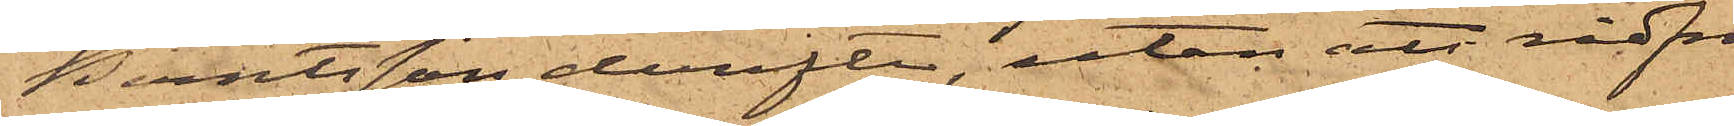Berntsson derefter, utan att rådfrå¬
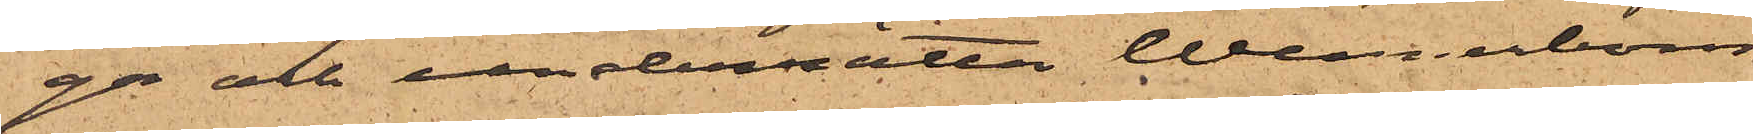ga och underrätta Wennerbom
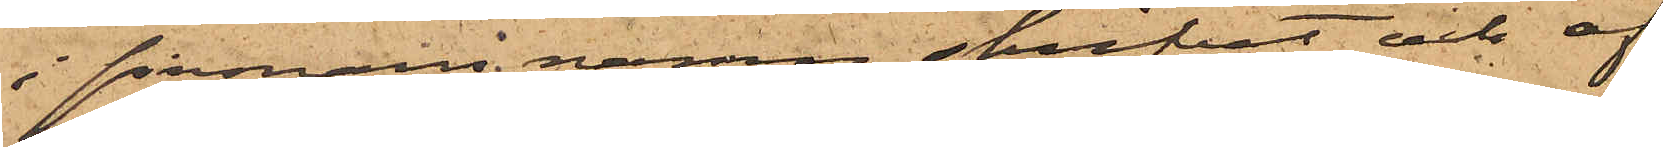i firmans namn skrifvit och af
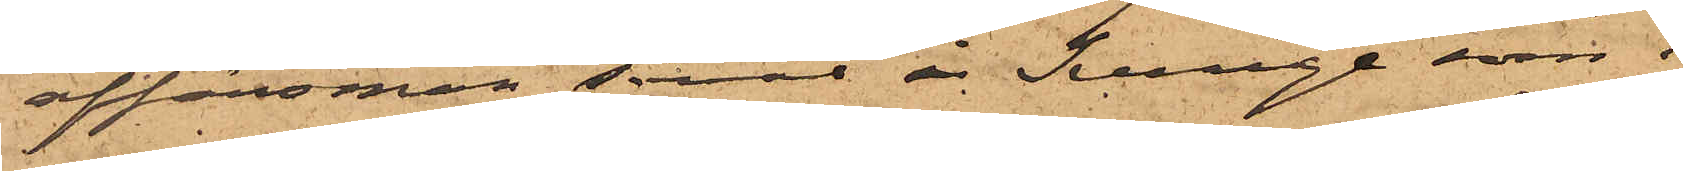affärsmän såväl i Sverige som i
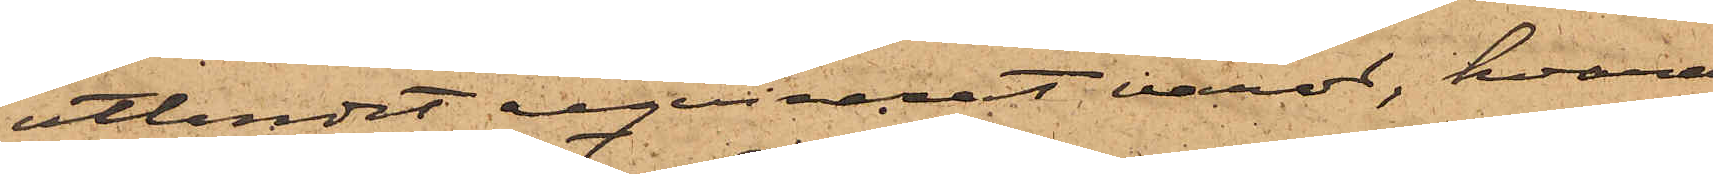utlandet reqvirerat varor, hvaraf
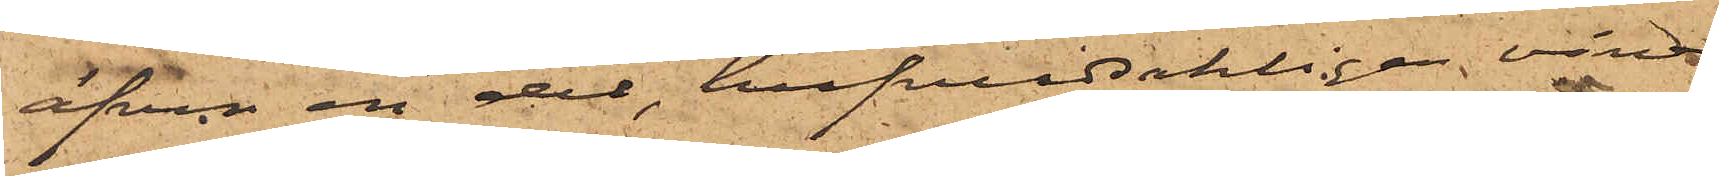äfven en del, hufvudsakligen viner
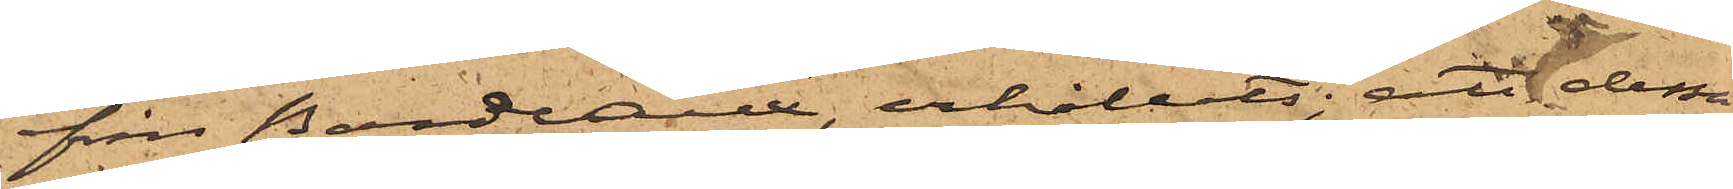från Bordeaux, erhållits; att dessa
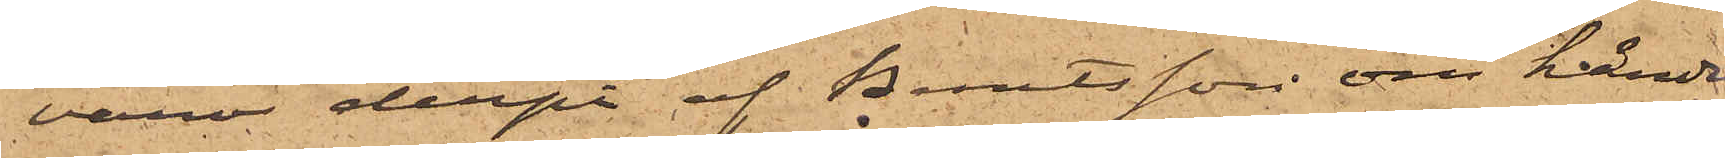varor derpå af Berntsson om händer
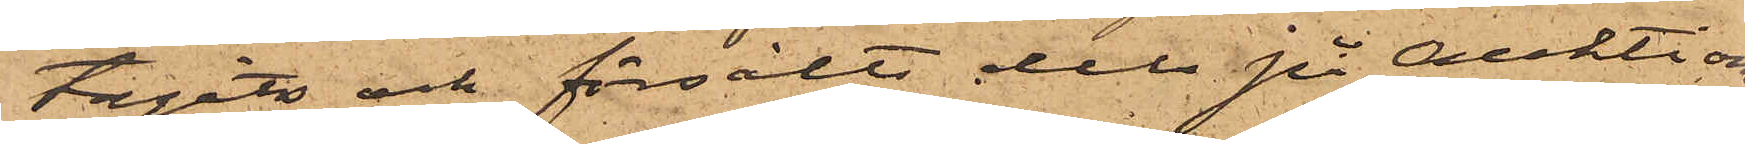tagits och försålts dels på Auktions¬
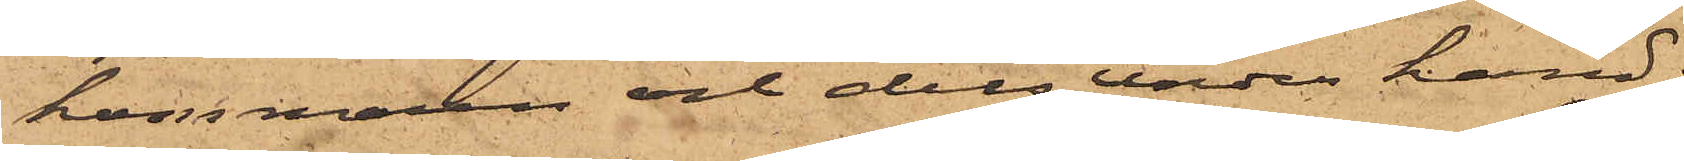kammaren och dels under hand;
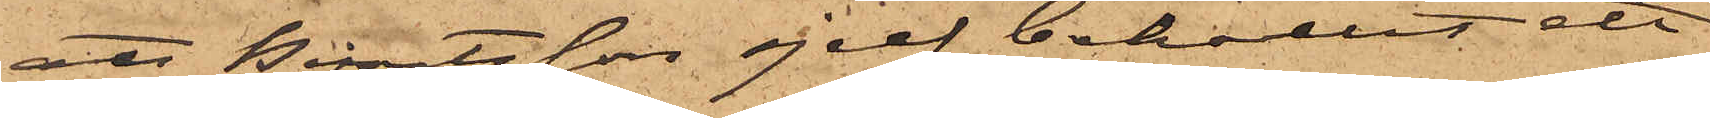att Berntsson sjelf behållit all
